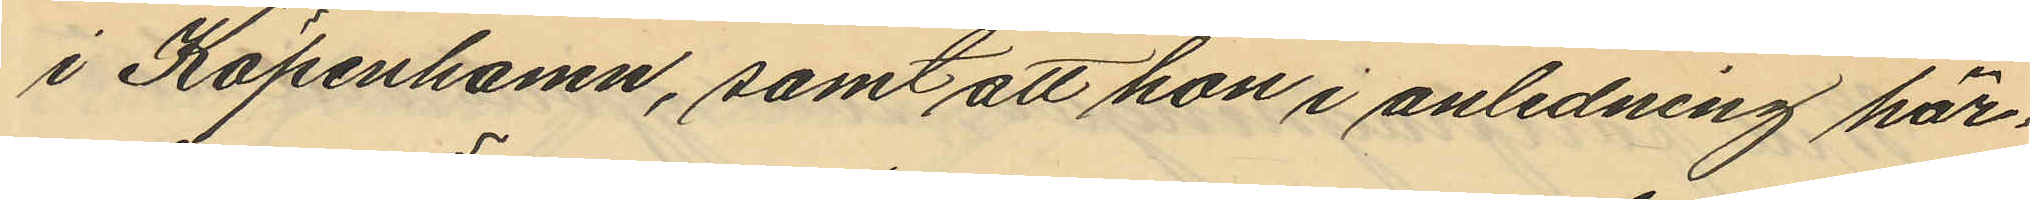i Köpenhamn, samt att hon i anledning här¬
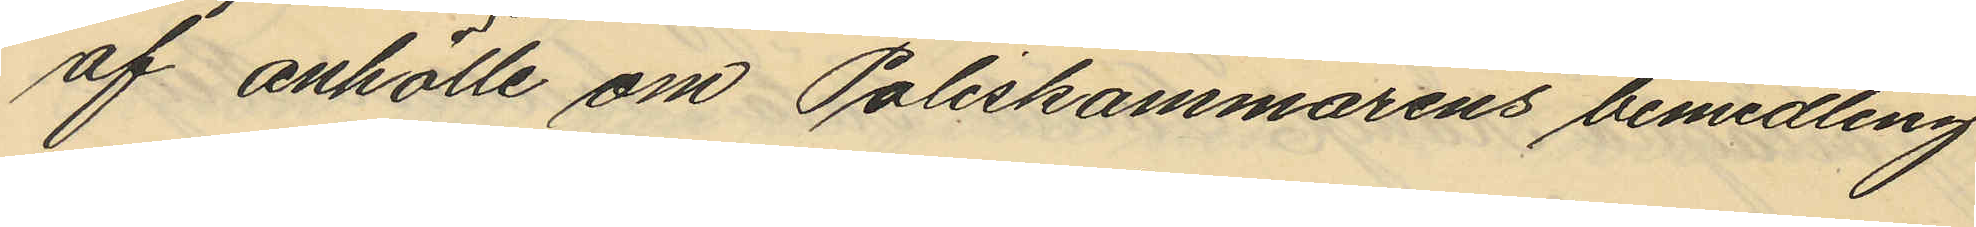af anhölle om Poliskammarens bemedling
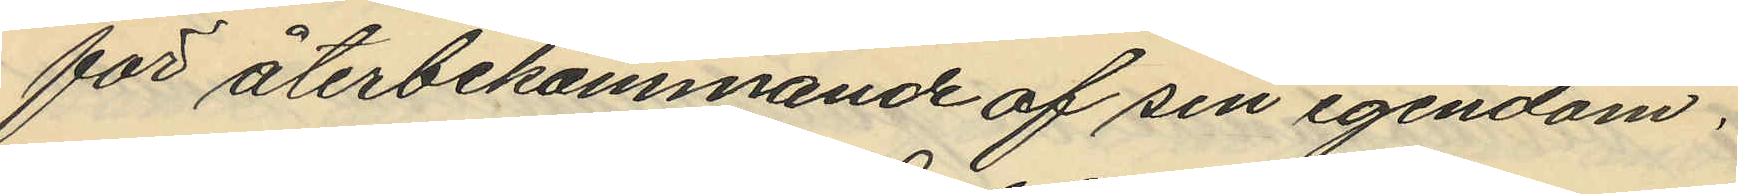för återbekommande af sin egendom.
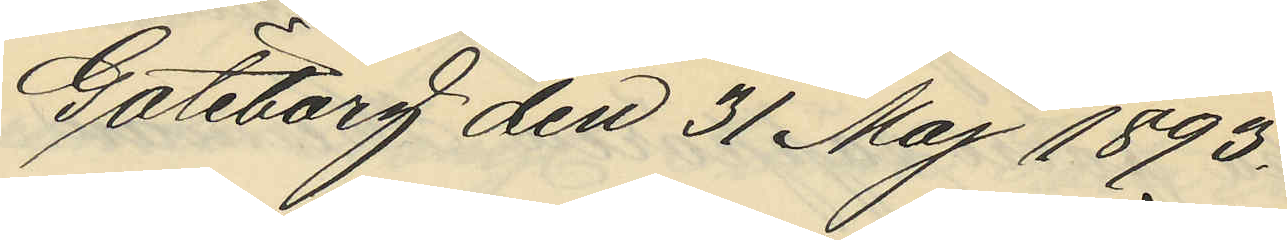Göteborg den 31 Maj 1893.
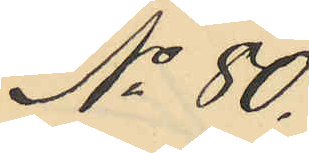No 80.
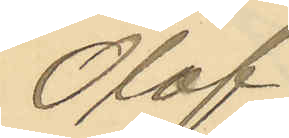Olof
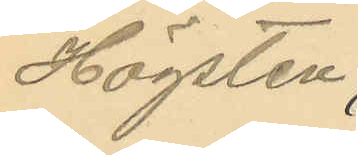Högsten
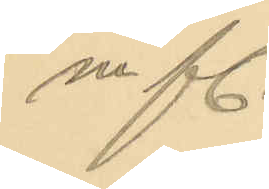m fl.
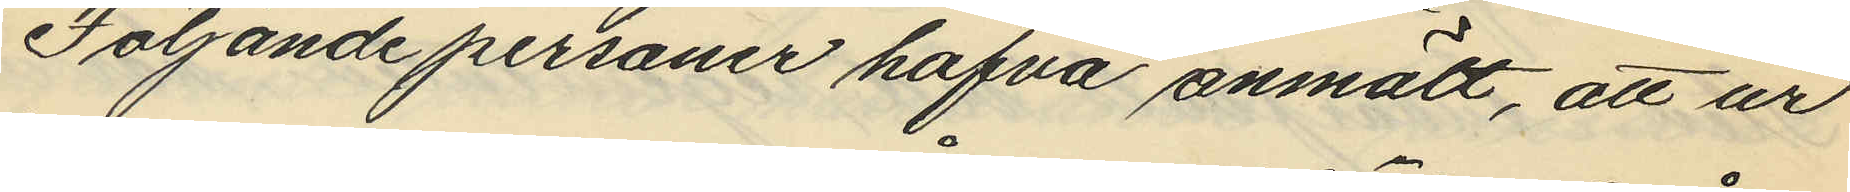Följande personer hafva anmält, att ur
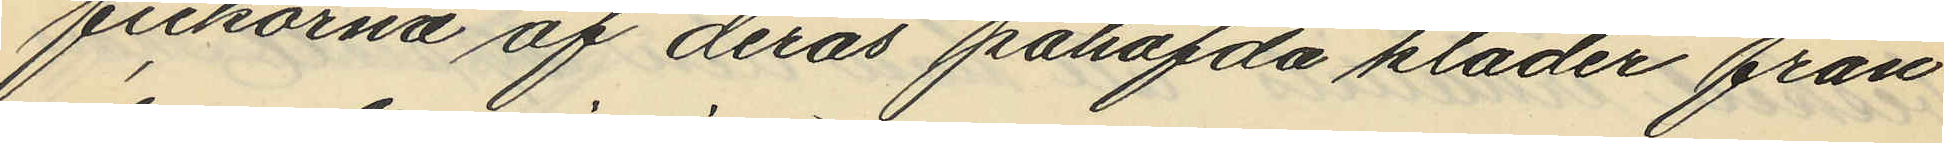fickorna af deras påhafda kläder från
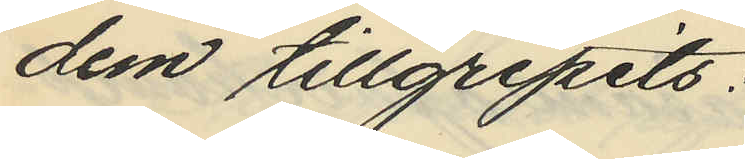dem tillgripits:
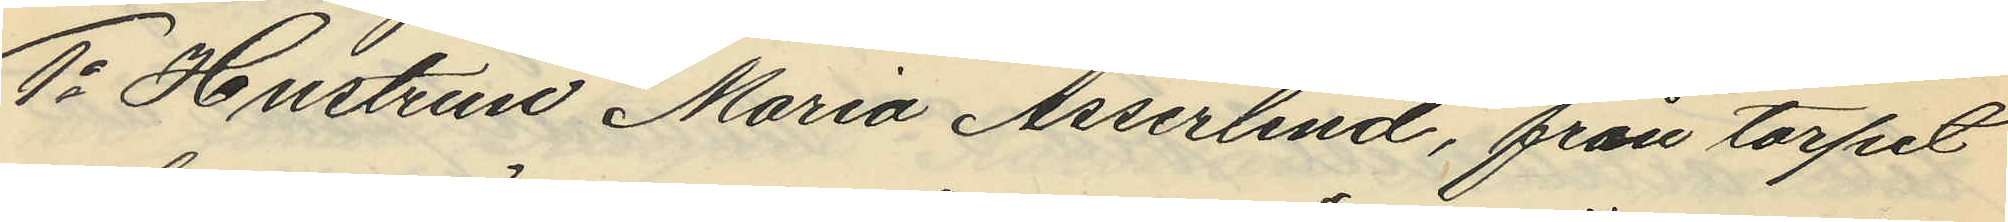1o Hustrun Maria Asserlind, från torpet
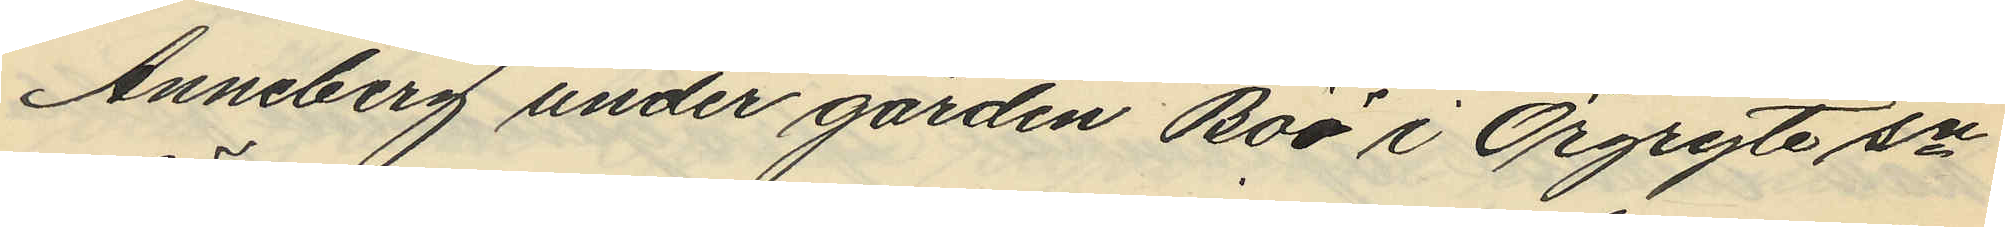Anneberg under gården Böö i Örgryte sn
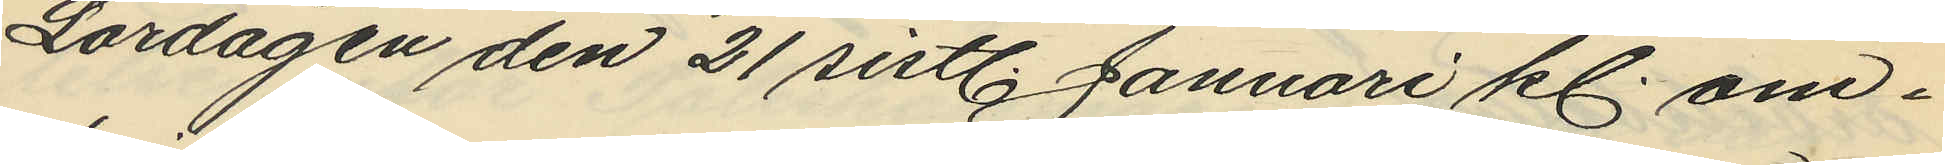Lördagen den 21 sistl. Januari kl. om¬
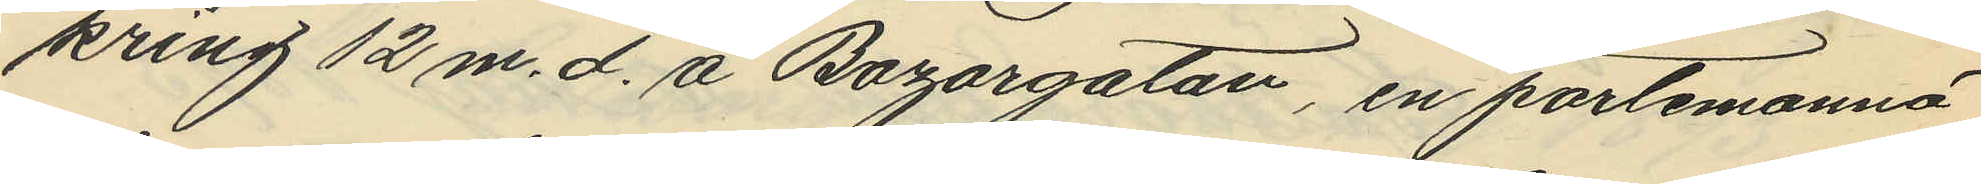kring 12 m. d. å Bazargatan, en portemonnä
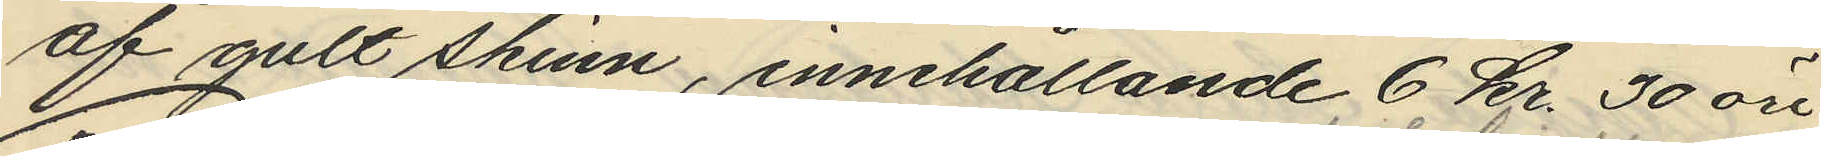af gult skinn, innehållande 6 Kr. 30 öre.
